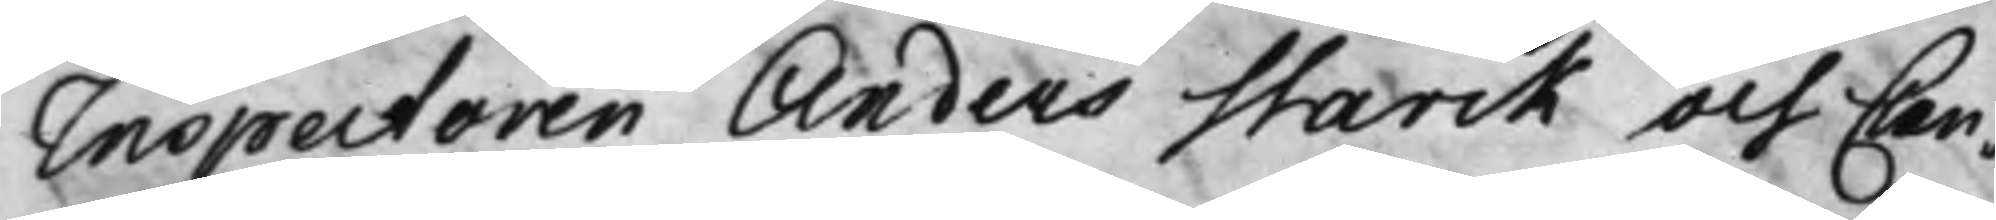Inspectoren Anders Starck och Can¬
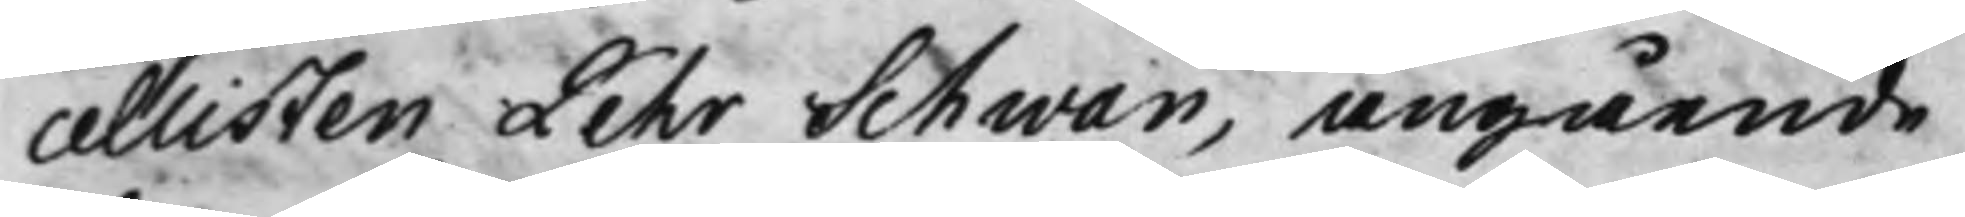cellisten Pehr Schwan, angående
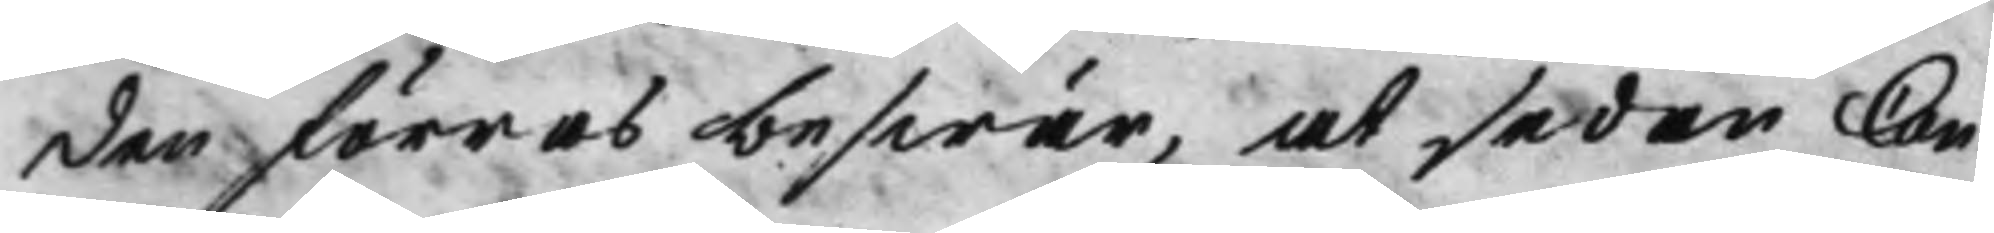den förres beswär, at sedan Can¬
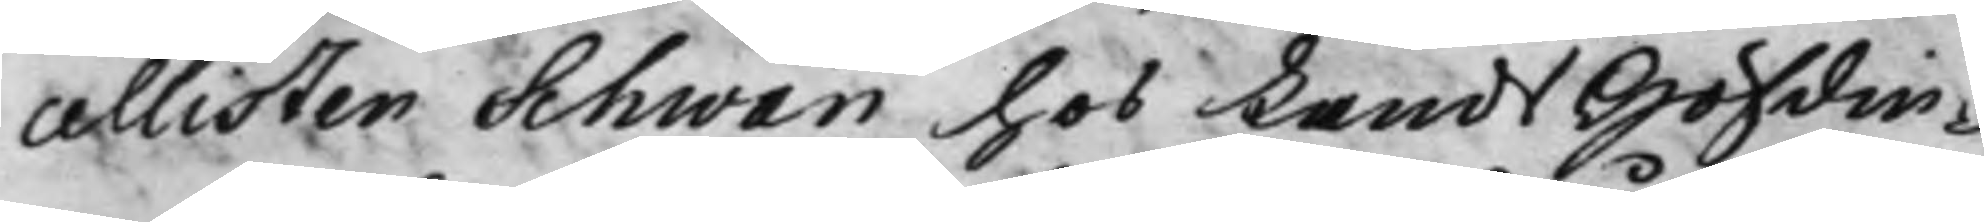cellisten Schwan hos Lands Höfdin¬
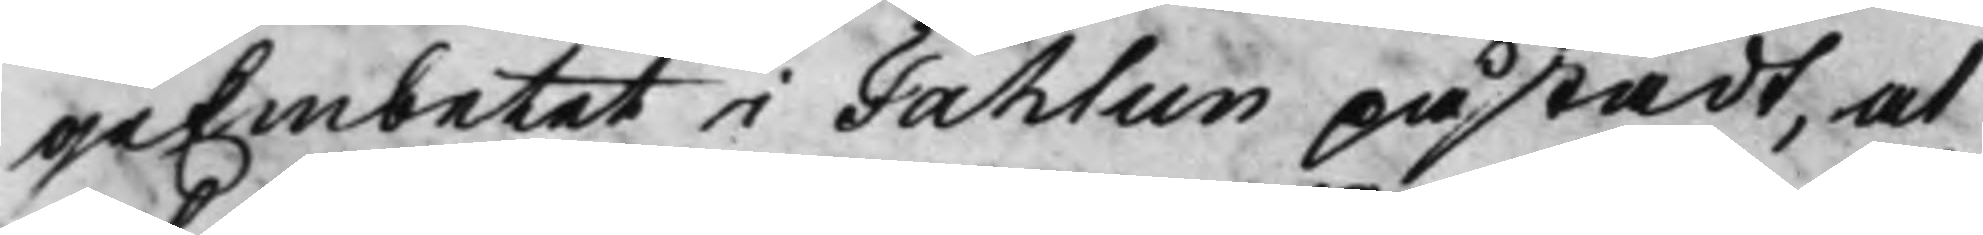geEmbetet i Fahlun påstådt, at
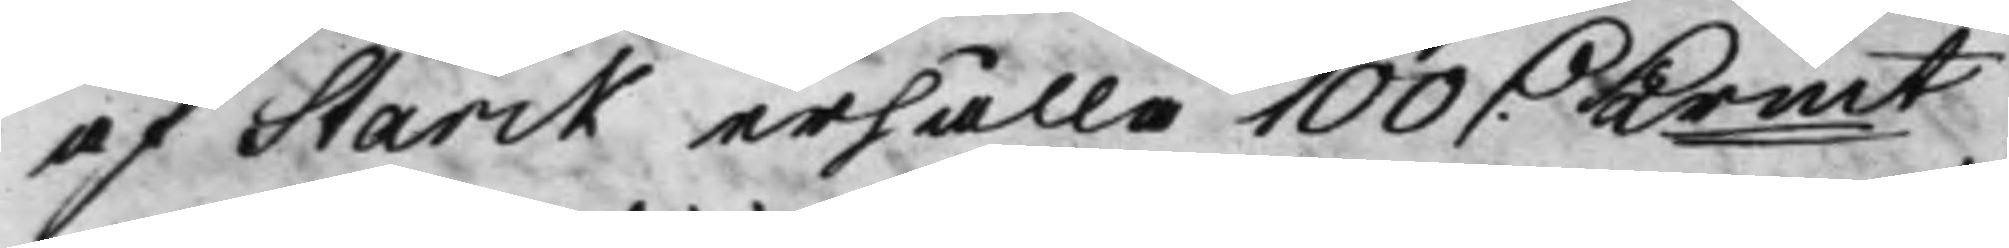af Starck erhålla 100 D. Krmt 
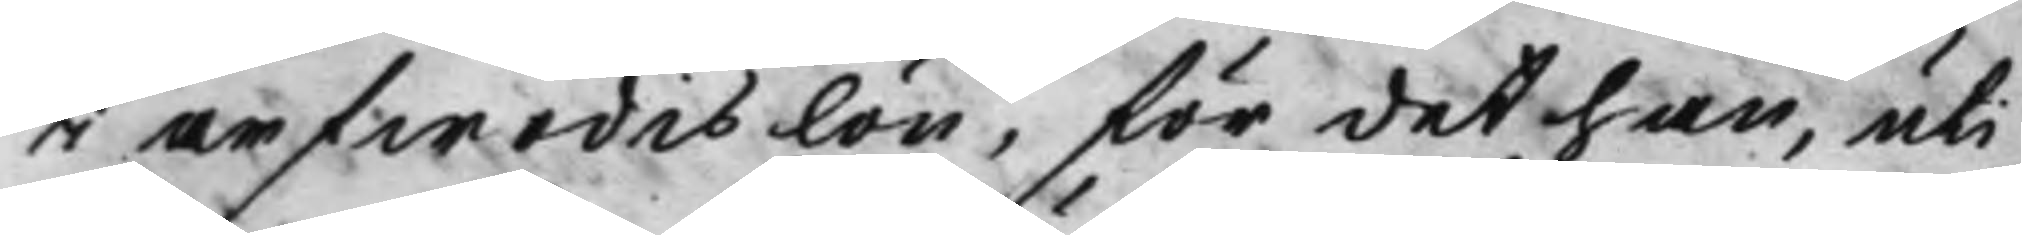i arfwodis lön, för det han, uti
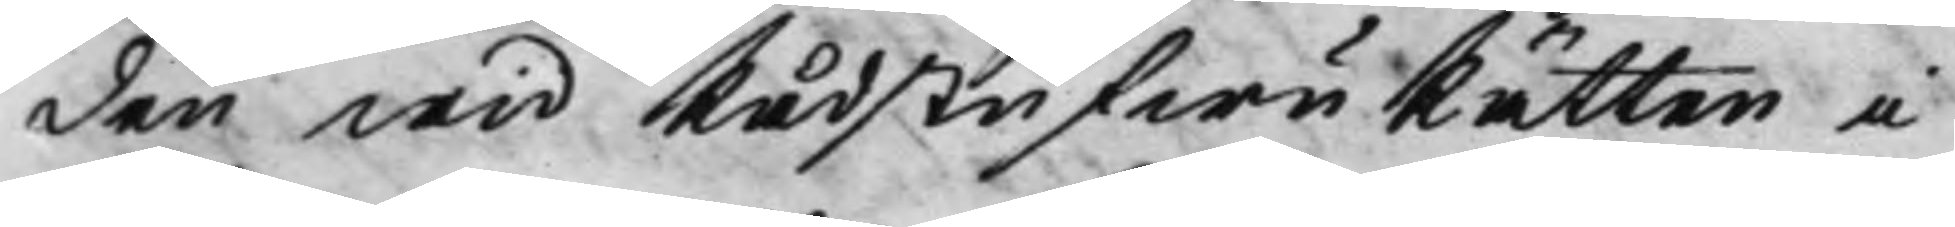den wid RådstufwuRätten i
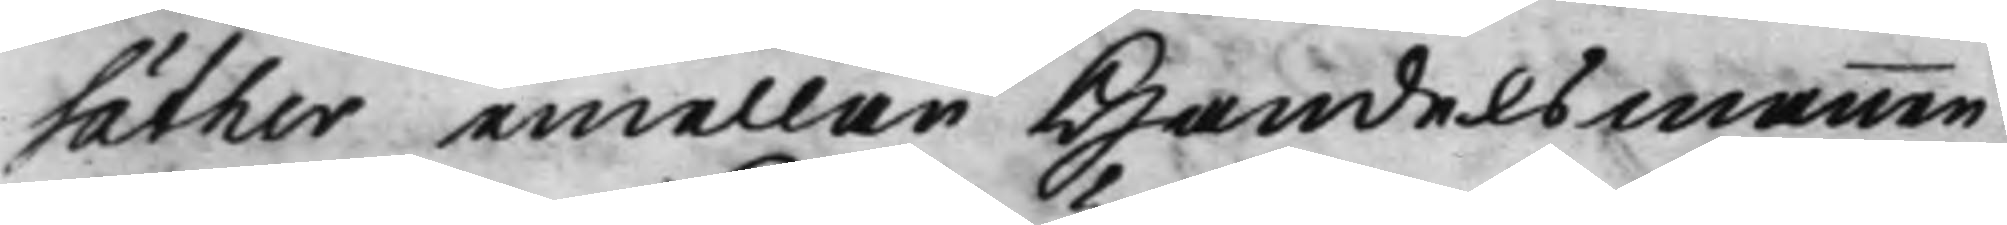Säther emellan Handelsmannen
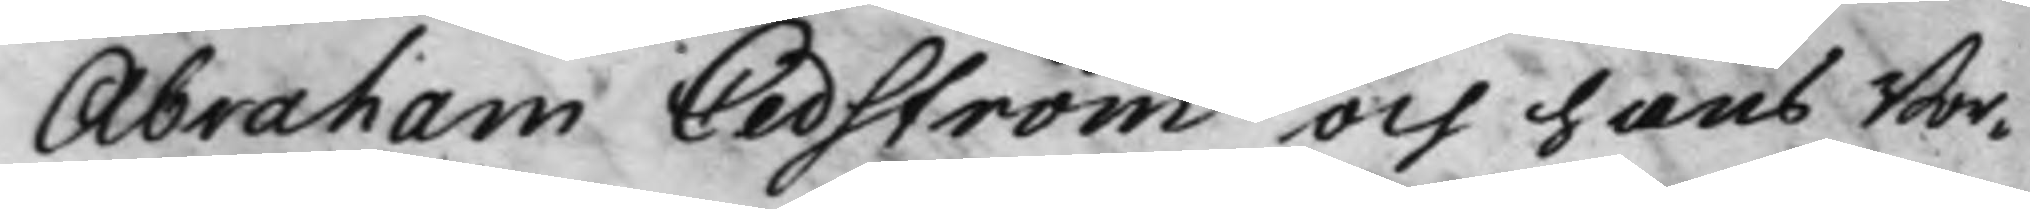Abraham Cedström och hans Bor¬
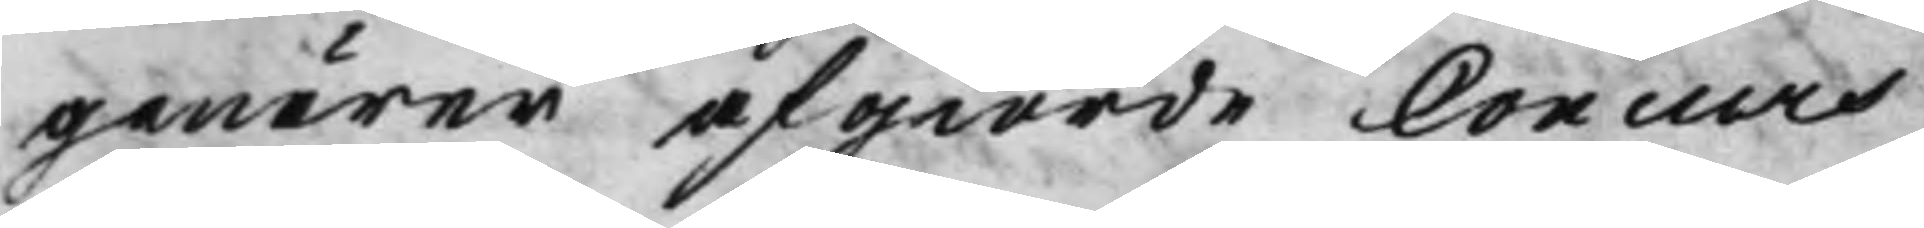genärer afgiorde Concurs
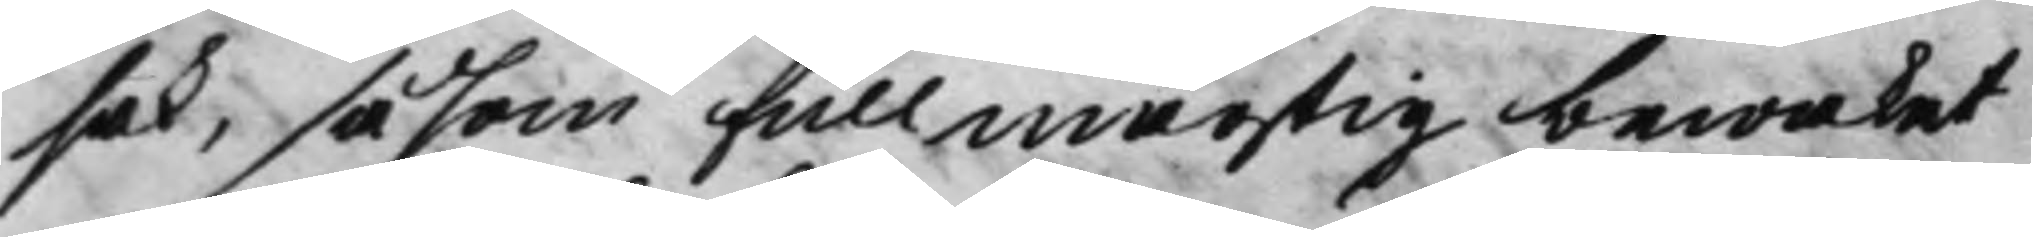sak, såsom Fullmägtig bewakat
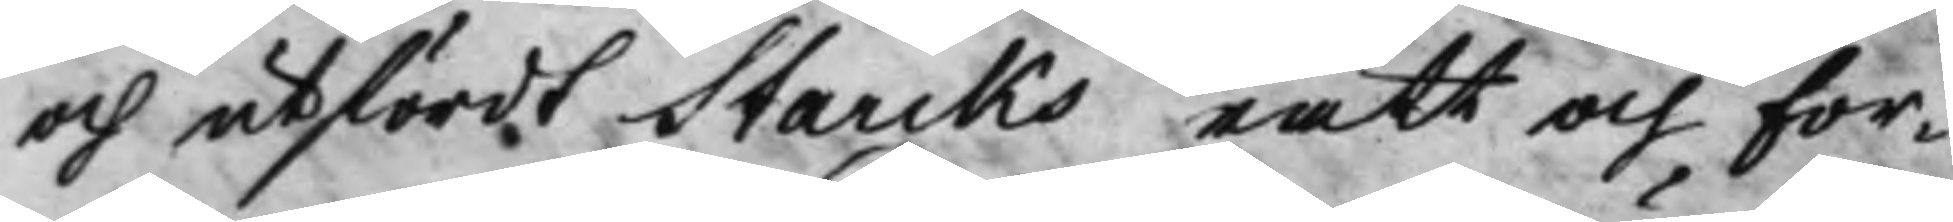och utfördt Starcks rätt och for¬
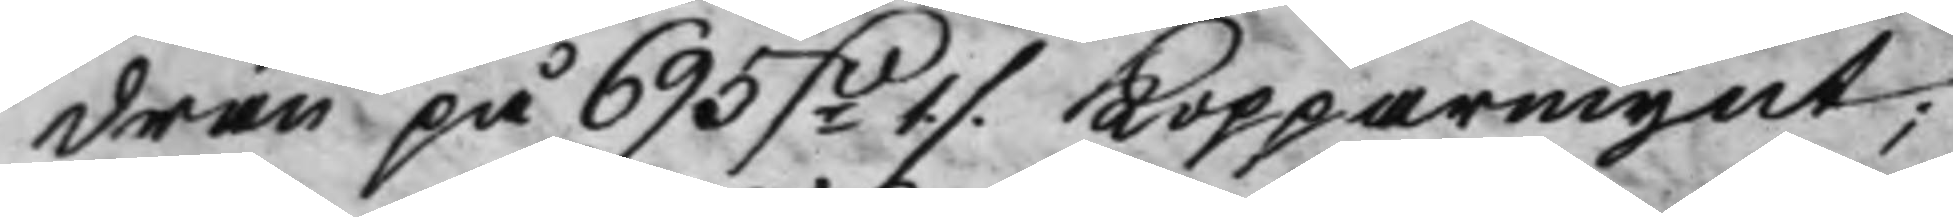dran på 695 Dr 1 ./. Kopparmynt; 
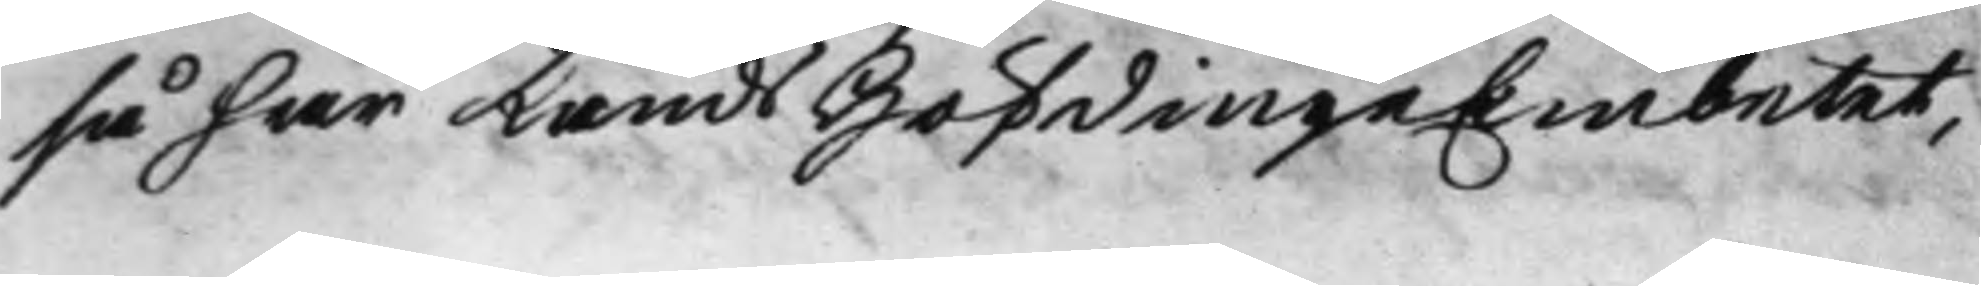så har Lands HöfdingeEmbetet,
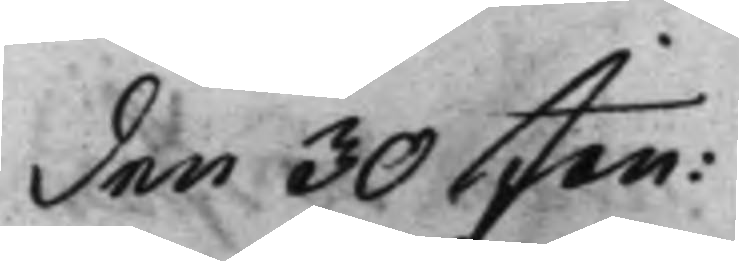den 30 Jan: 
